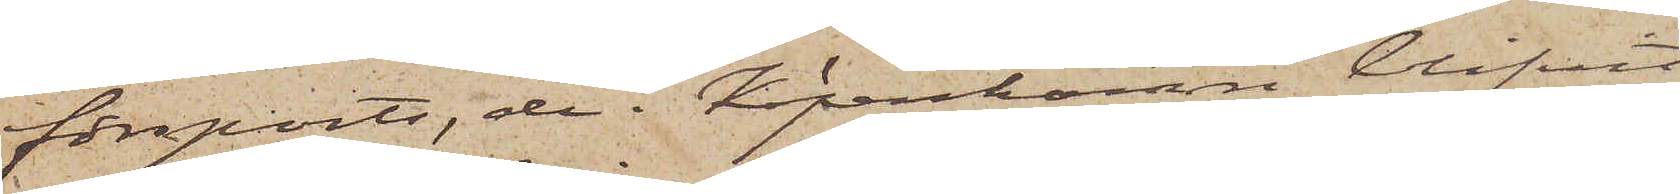försports, de i Köpenhamn blifvit
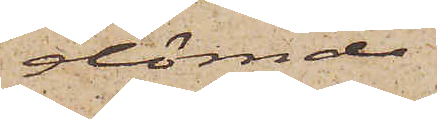dömde
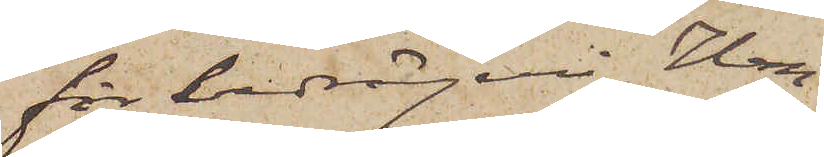för bedrägeri, Han¬
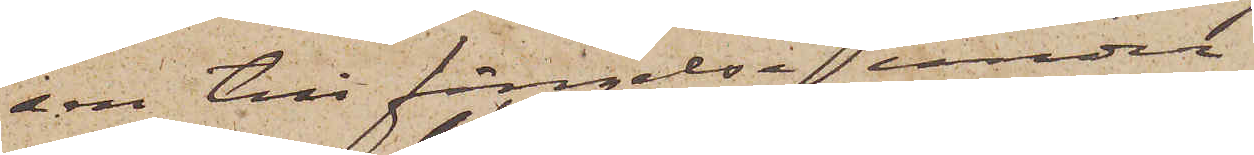sen till fängelse under
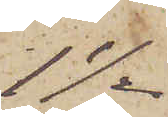1 1/2
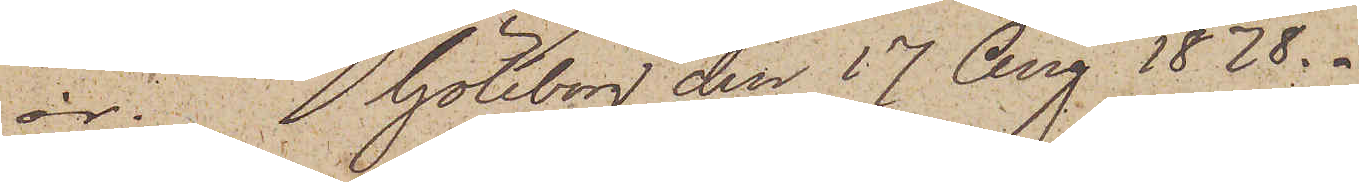år. Göteborg den 17 Aug 1878.
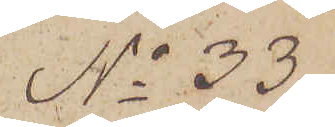No 33
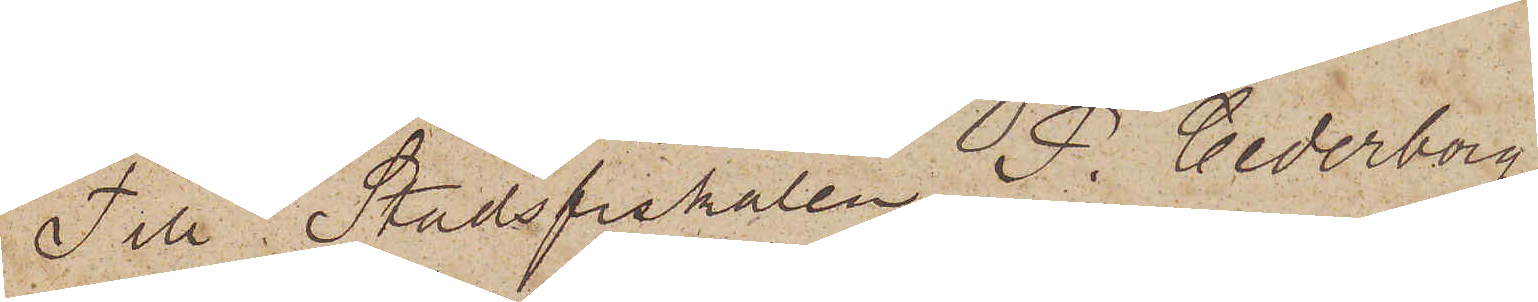Till Stadsfiskalen P. Cederborg.
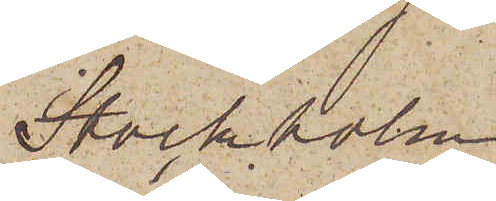Stockholm.
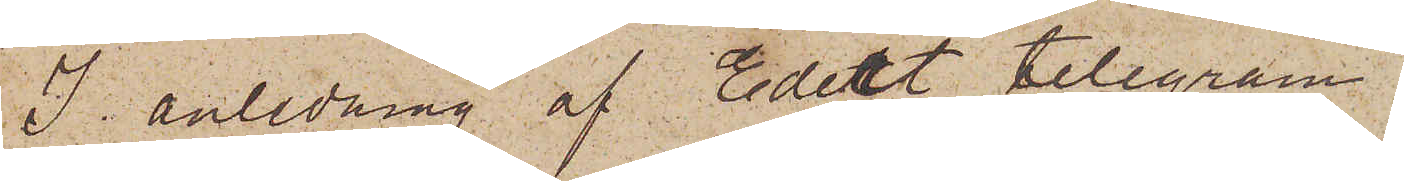I anledning af Edert telegram
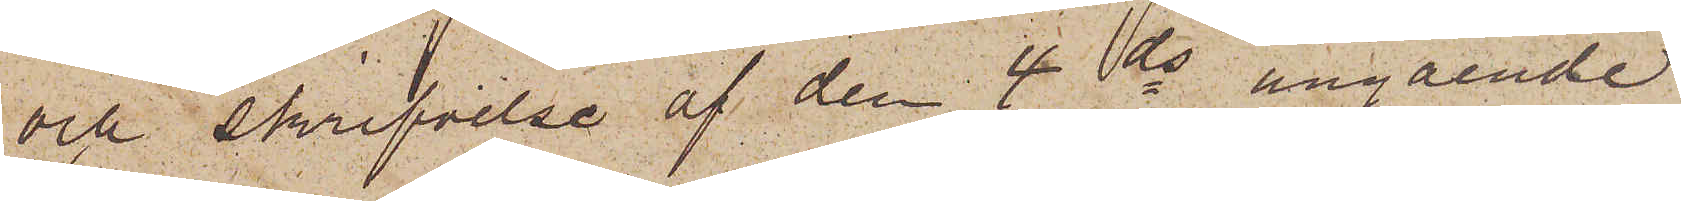och skrifvelse af den 4 ds angående
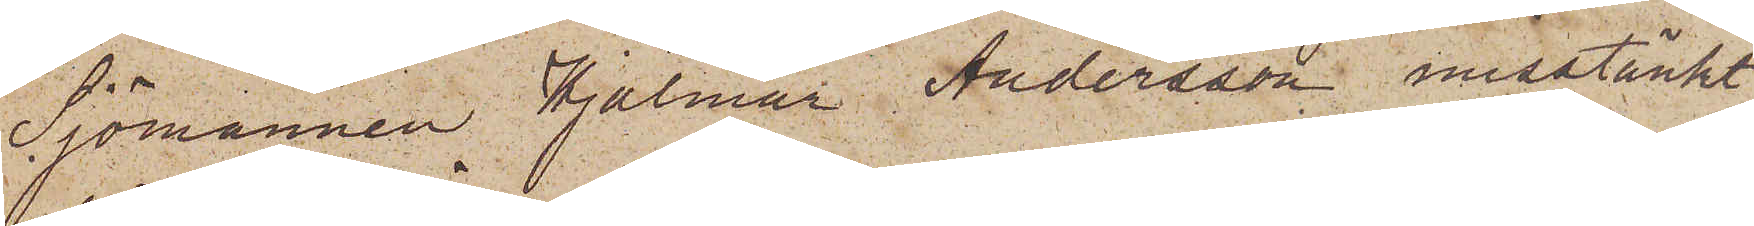Sjömannen Hjalmar Andersson misstänkt
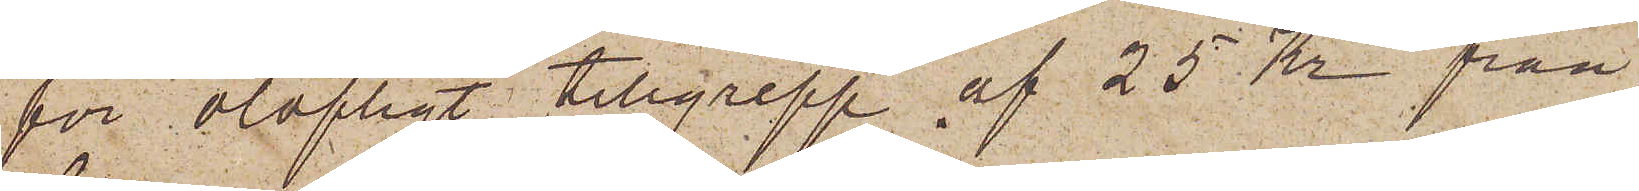för olofligt tillgrepp af 25 Kr från
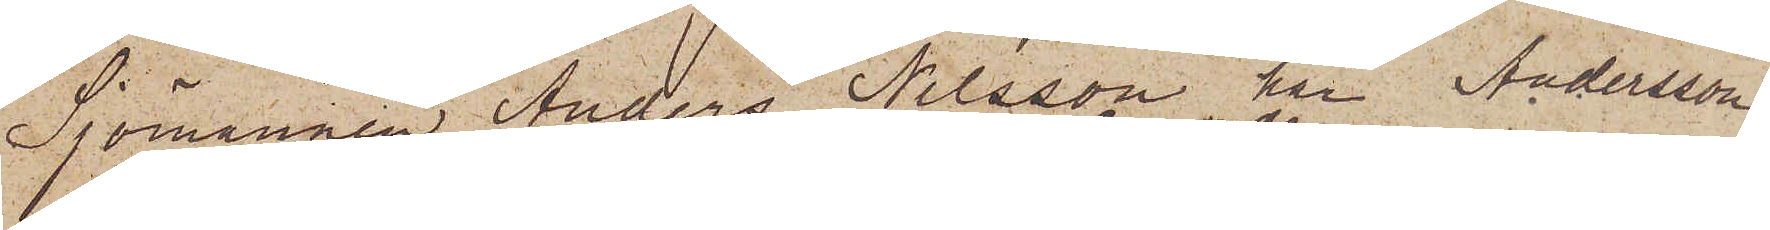Sjömannen Anders Nilsson har Andersson
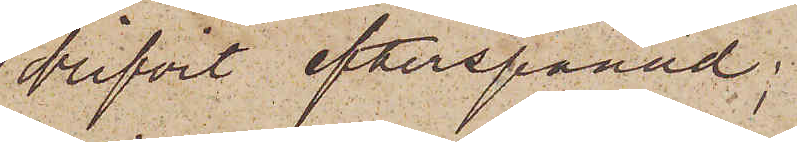blifvit efterspanad;
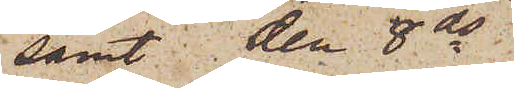samt den 8 ds
